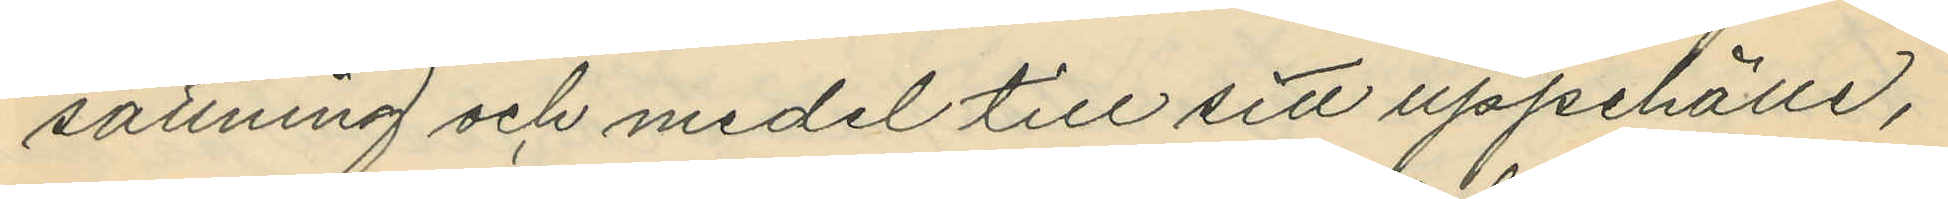sättning och medel till sitt uppehälle,
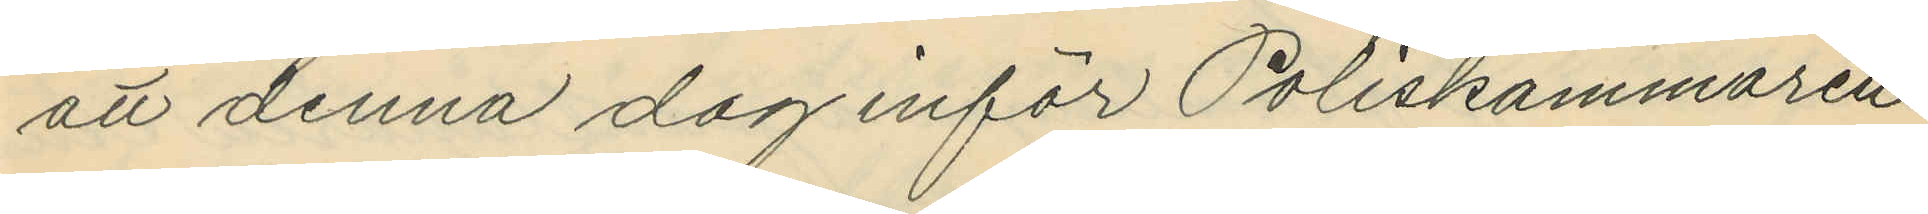att denna dag inför Poliskammaren
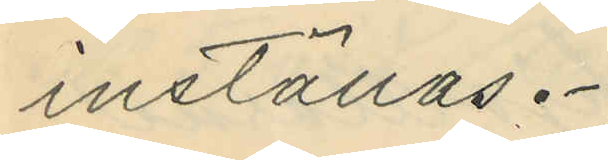inställas.
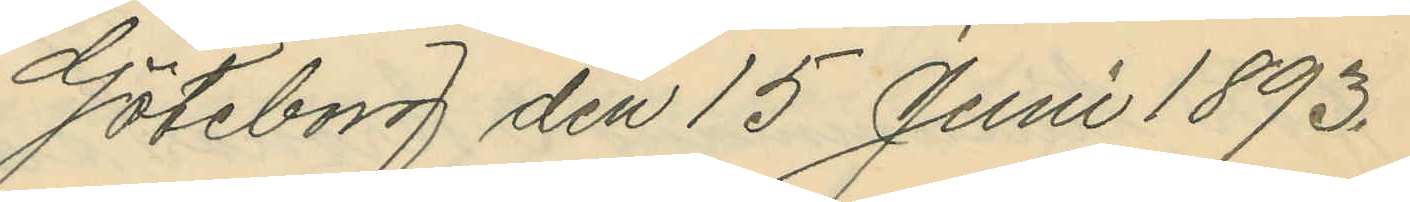Göteborg den 15 Juni 1893.
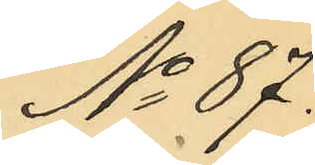No 87.
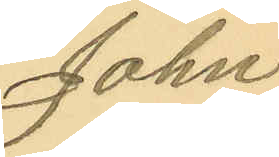John
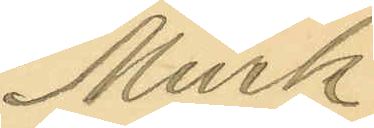Mürk
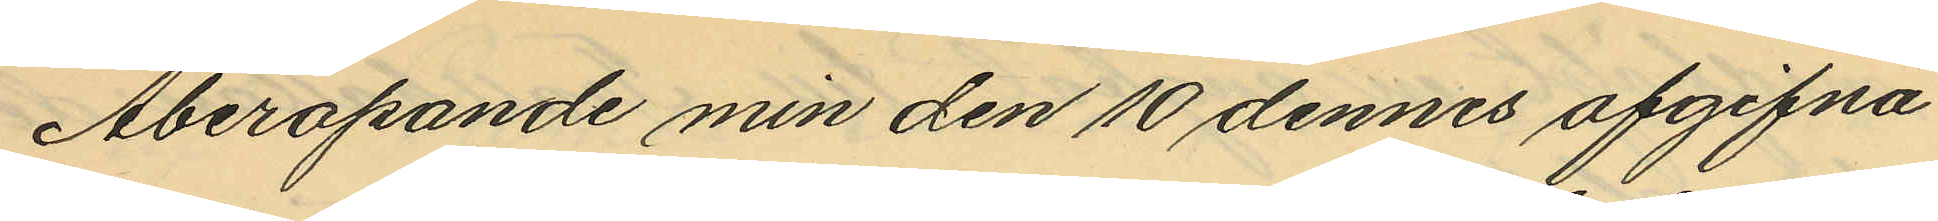Åberopande min den 10 dennes afgifna
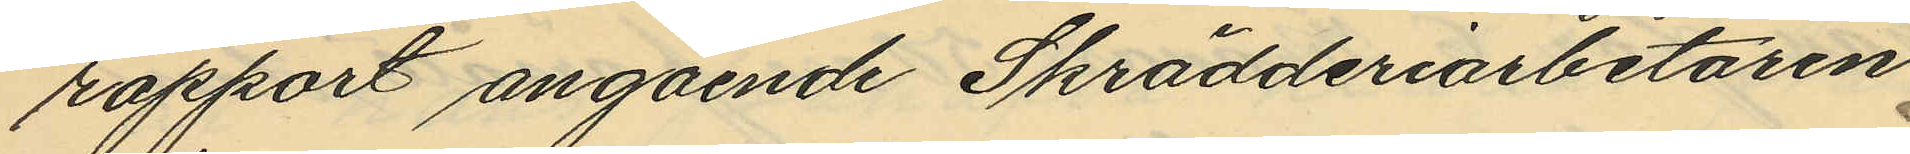rapport angående Skrädderiarbetaren
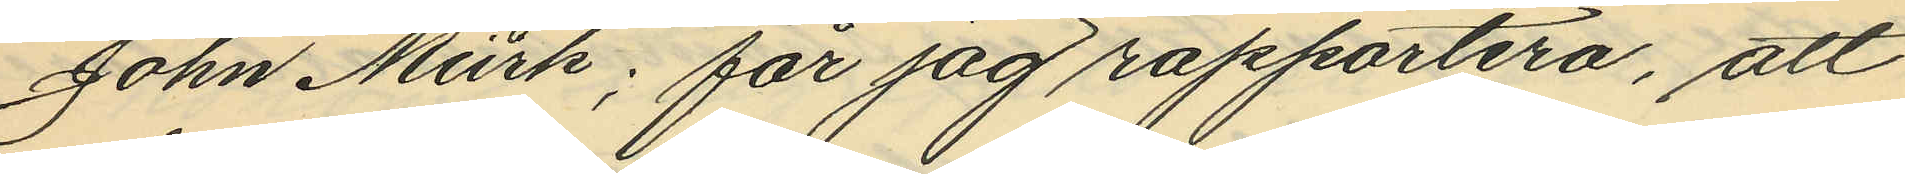John Mürk; får jag rapportera, att
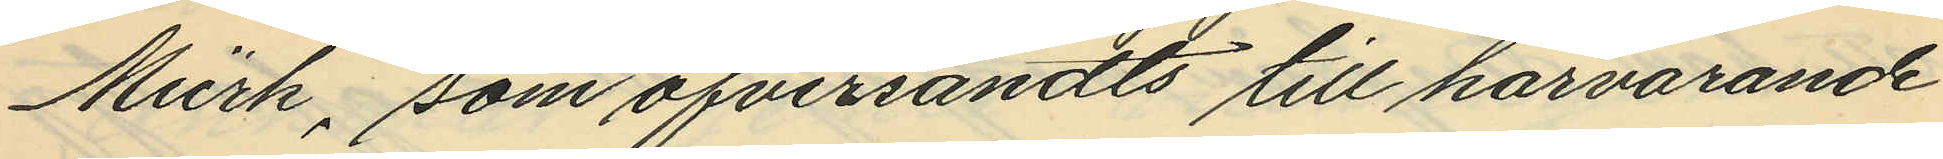Mürk, som öfversändts till härvarande
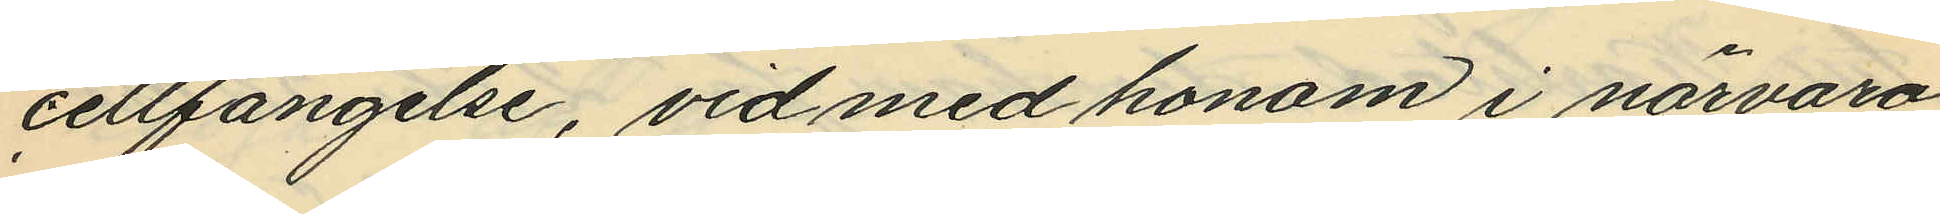cellfängelse, vid med honom i närvaro
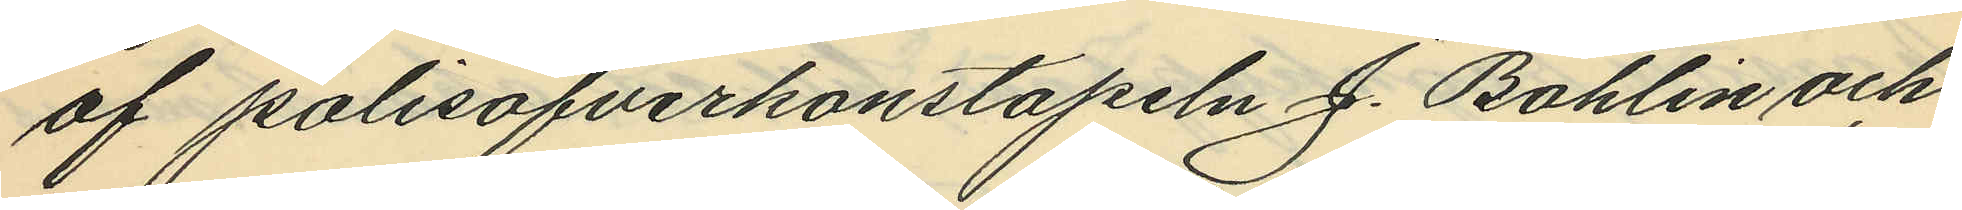af polisöfverkonstapeln J. Bohlin och
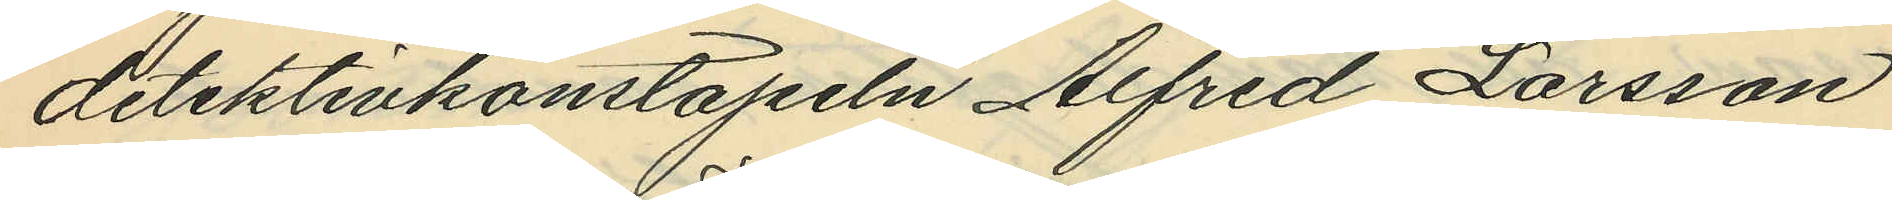detektivkonstapeln Alfred Larsson
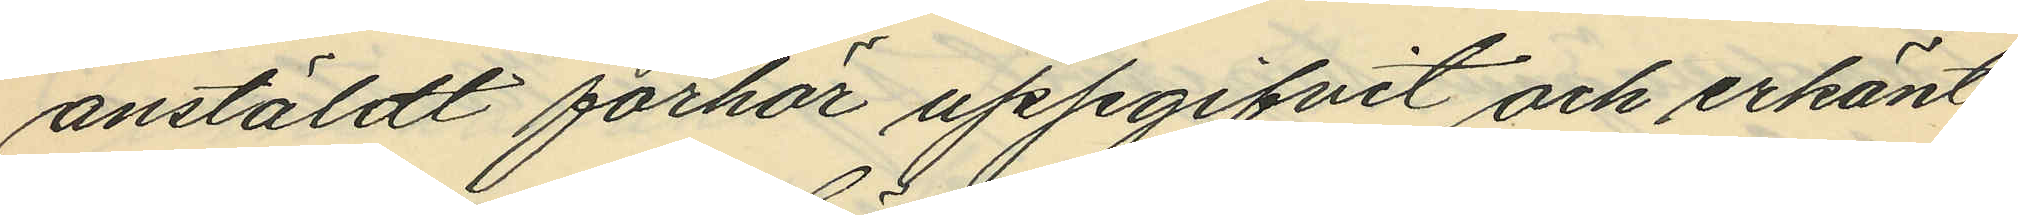anstäldt förhör uppgifvit och erkänt
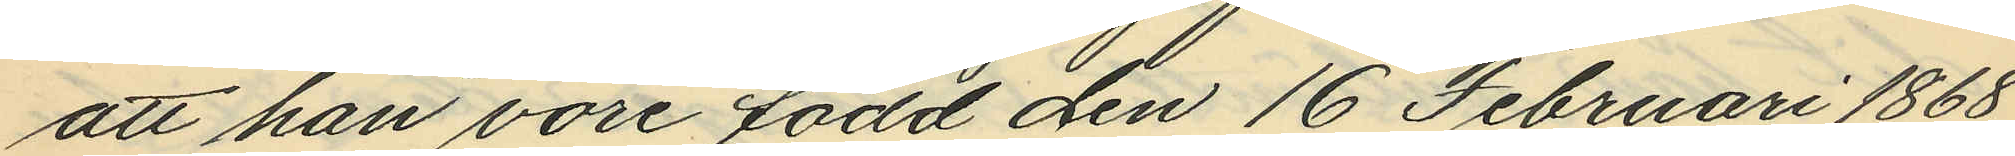att han vore född den 16 Februari 1868
